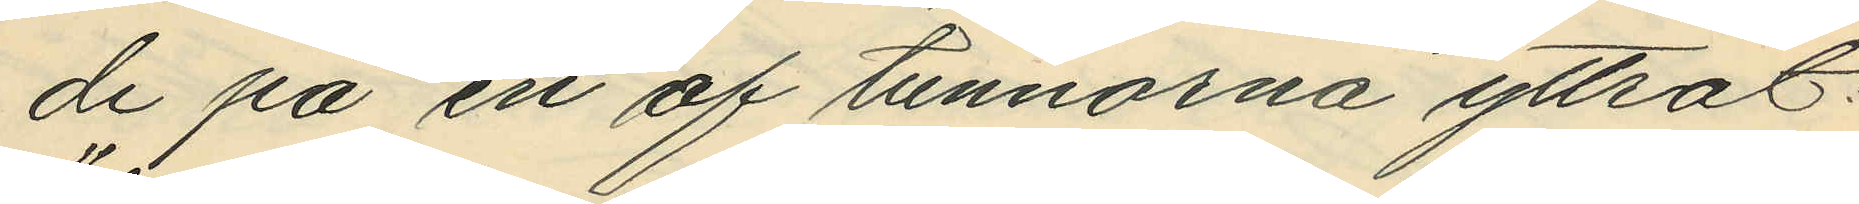de på en af tunnorna yttrat:
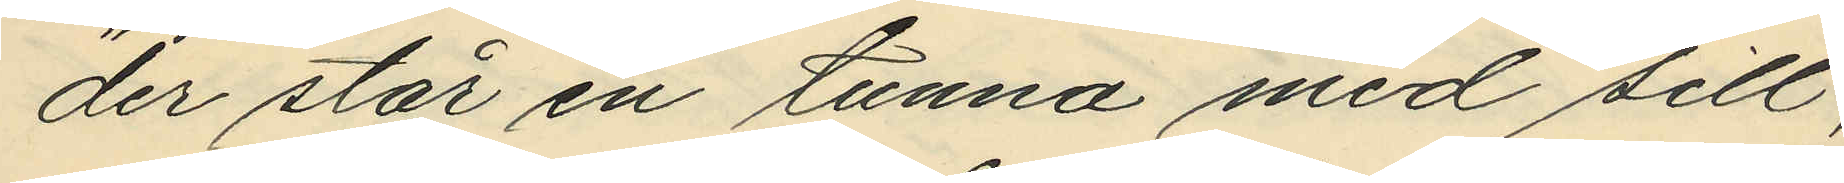"der står en tunna med sill,
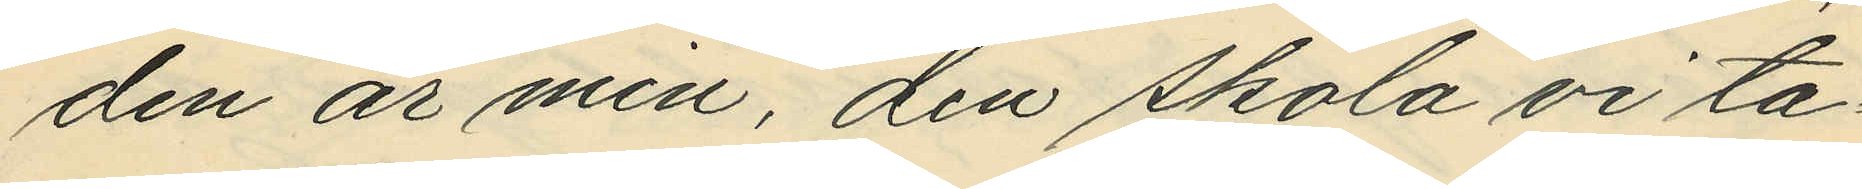den är min, den skola vi ta¬
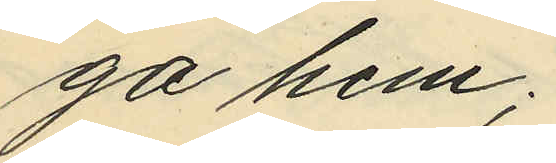ga hem";
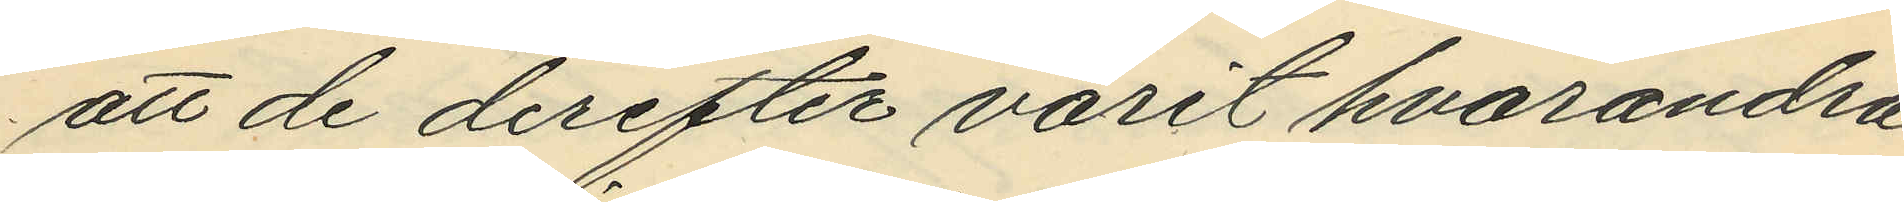att de derefter varit hvarandra
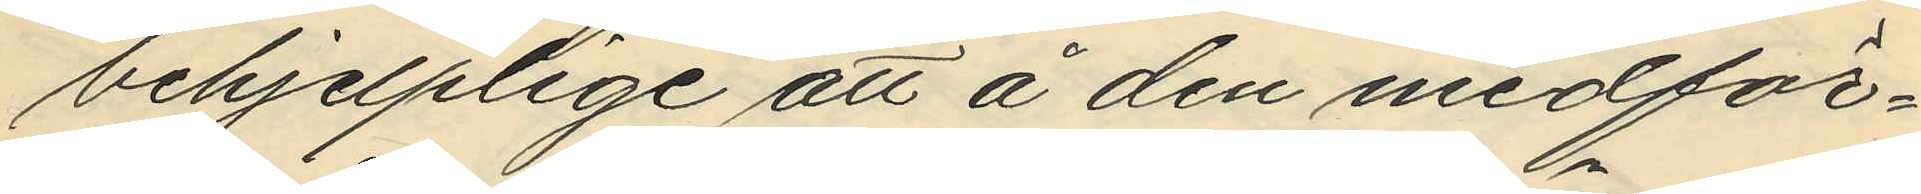behjelplige att å den medför¬
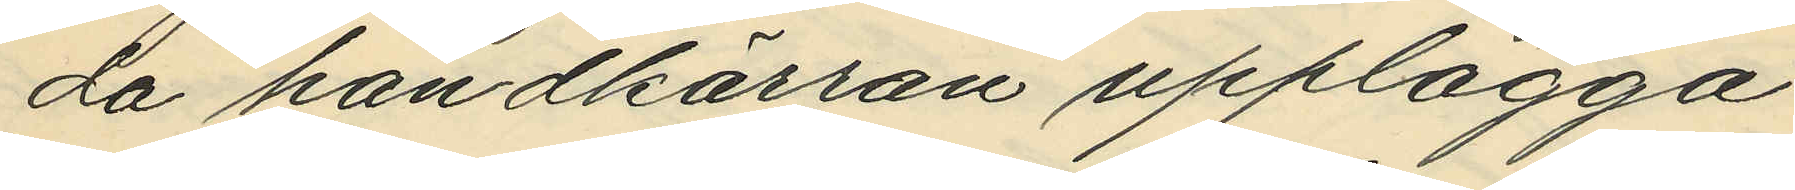da handkärran upplägga
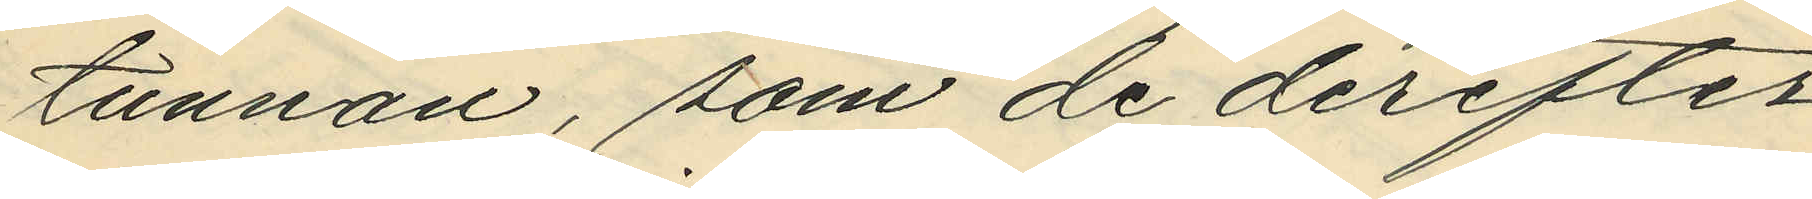tunnan, som de derefter
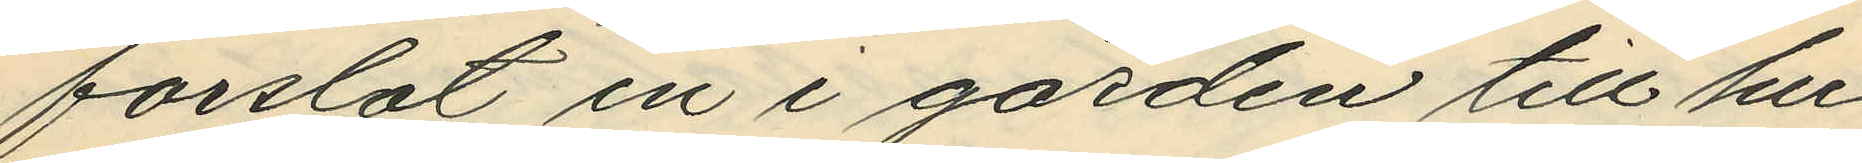forslat in i gården till hu¬
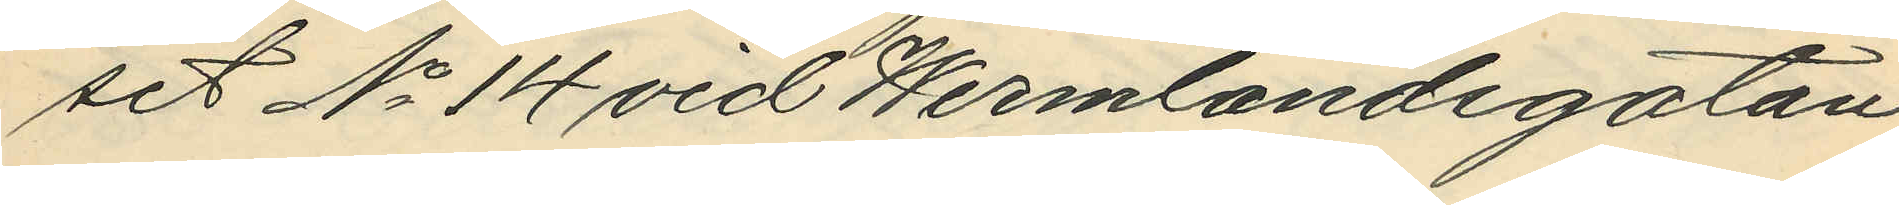set No 14 vid Wermlandsgatan;
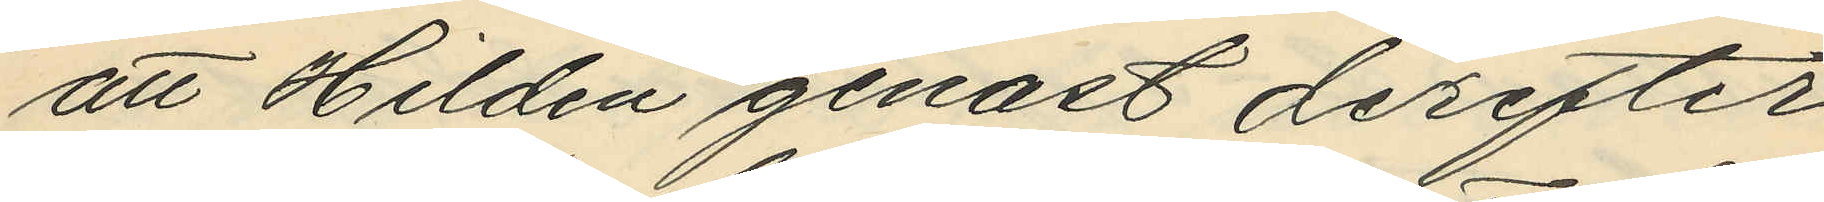att Hildén genast derefter
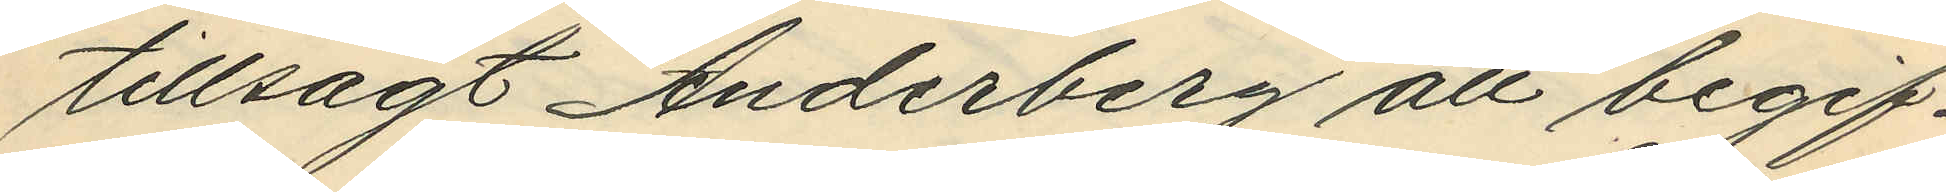tillsagt Anderberg att begif¬
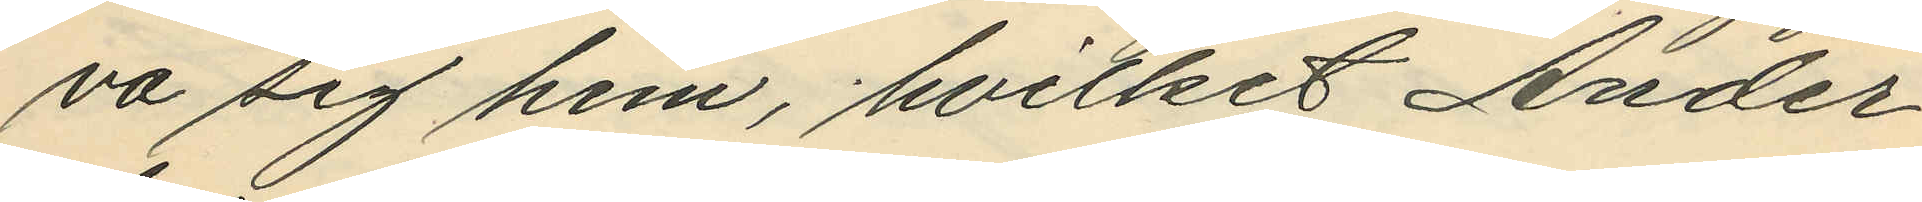va sig hem, hvilket Ander¬
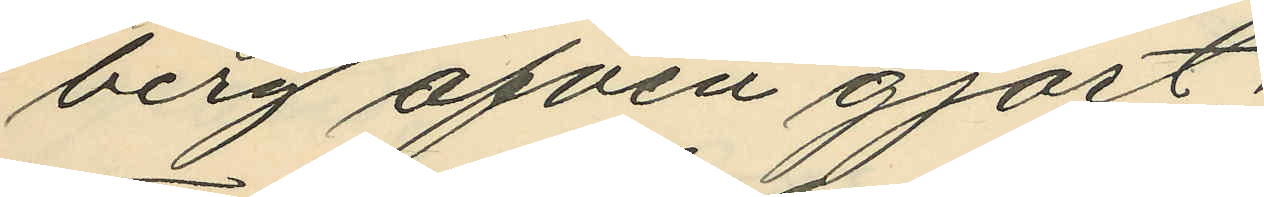berg äfven gjort;
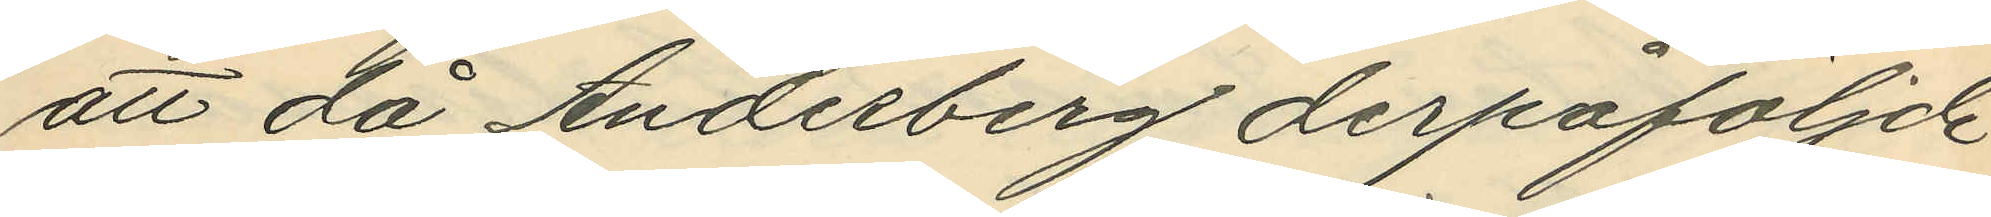att då Anderberg derpåföljde
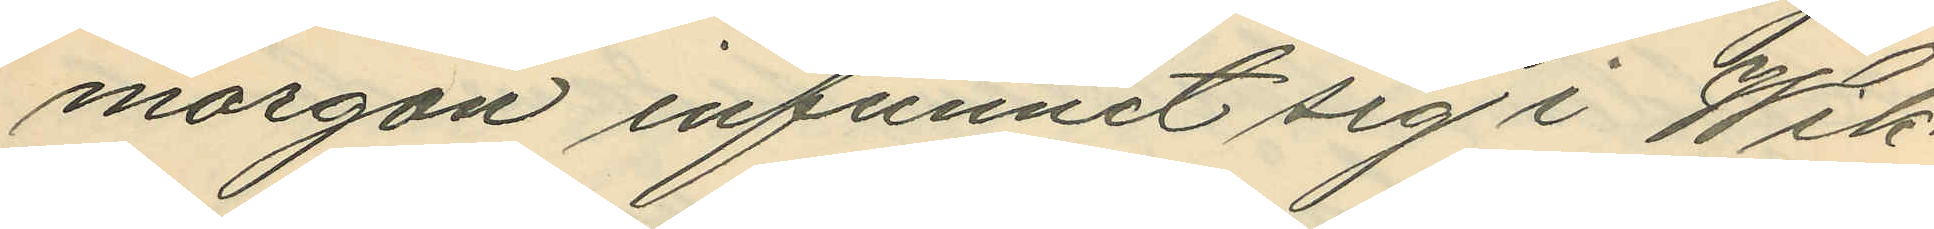morgon infunnit sig i Wik¬
